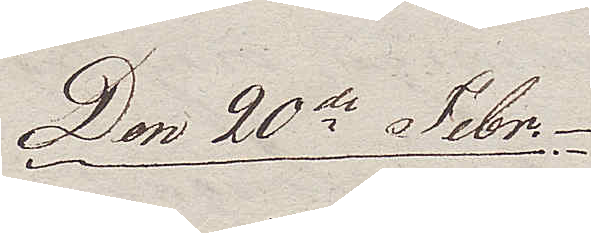Den 20de Febr.
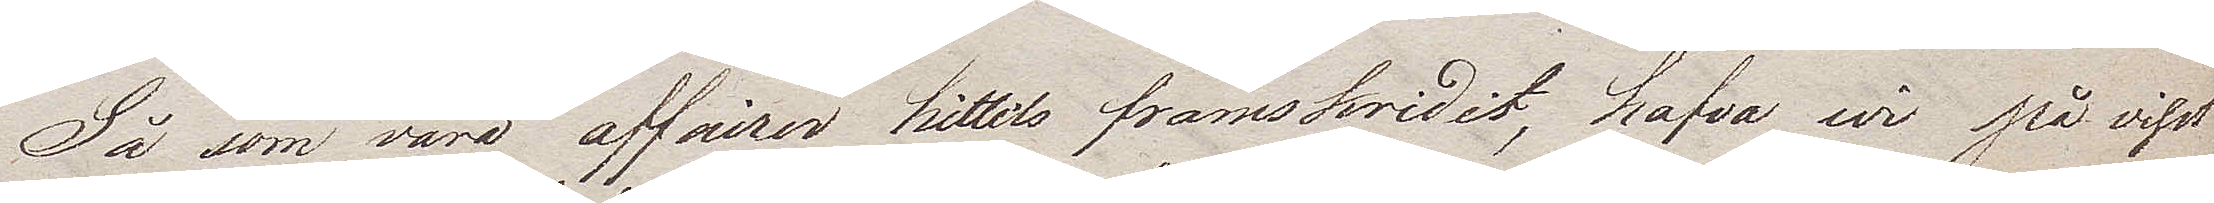Så som våra affairer hittils framskridit, hafva wi på visst
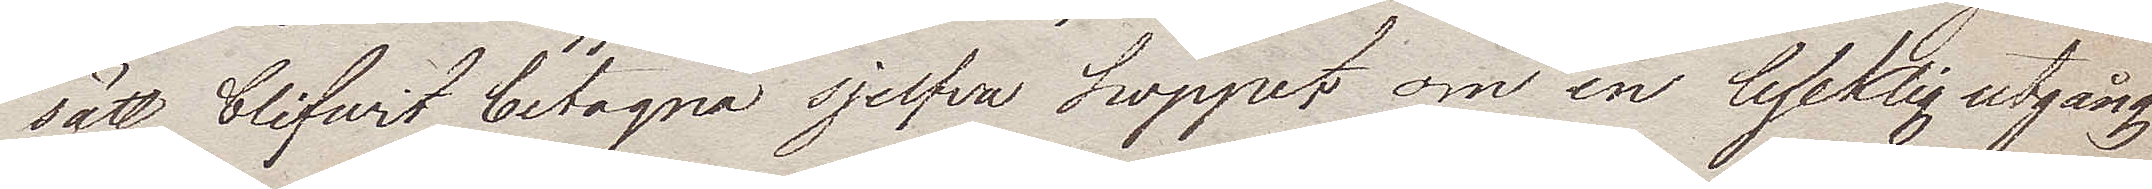sätt blifwit betagna sjelfva hoppet om en lycklig utgång
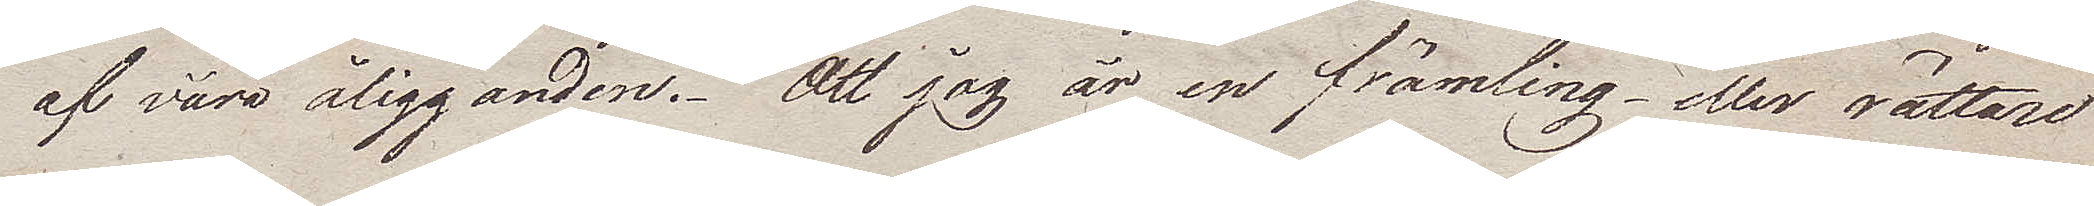af våra åligganden. Att jag är en främling – eller rättare
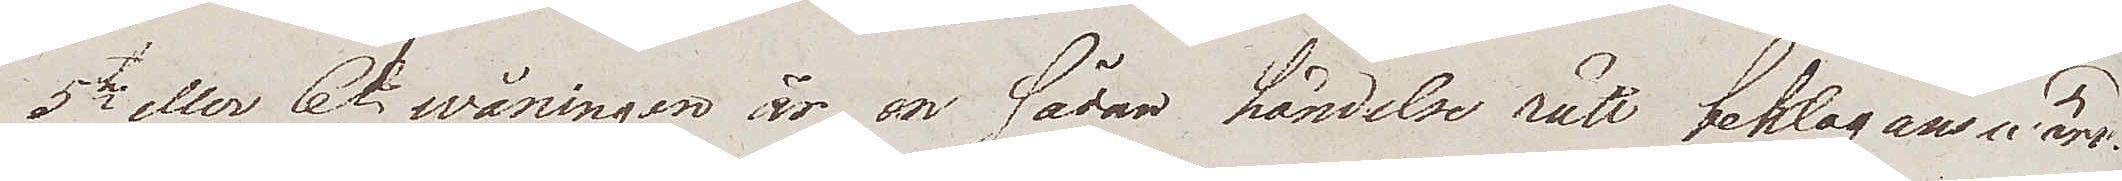5te eller 6te wåningen är en sådan händelse rätt beklagansvärd.
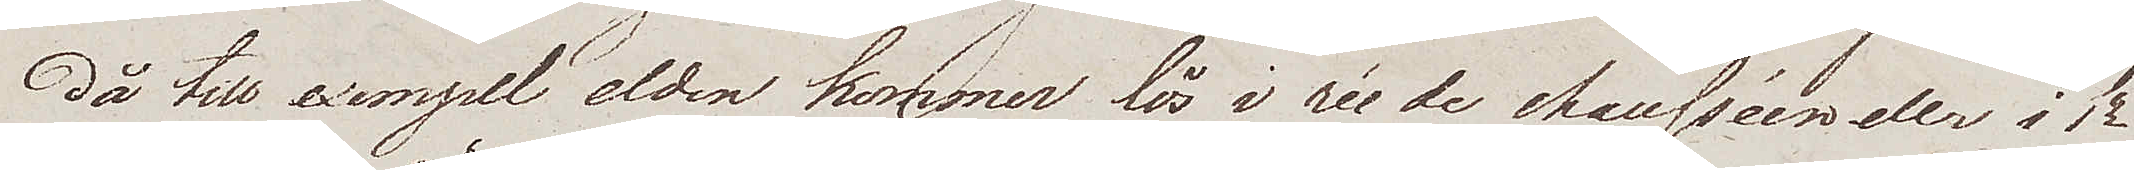Då till exempel elden kommer lös i rée de chausséen eller i 1/2
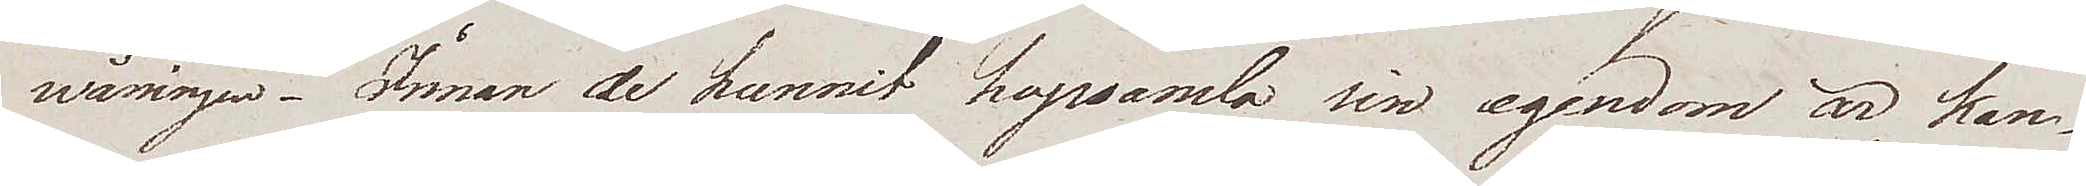wåningen. Innan de kunnit hopsamla sin egendom är kan¬
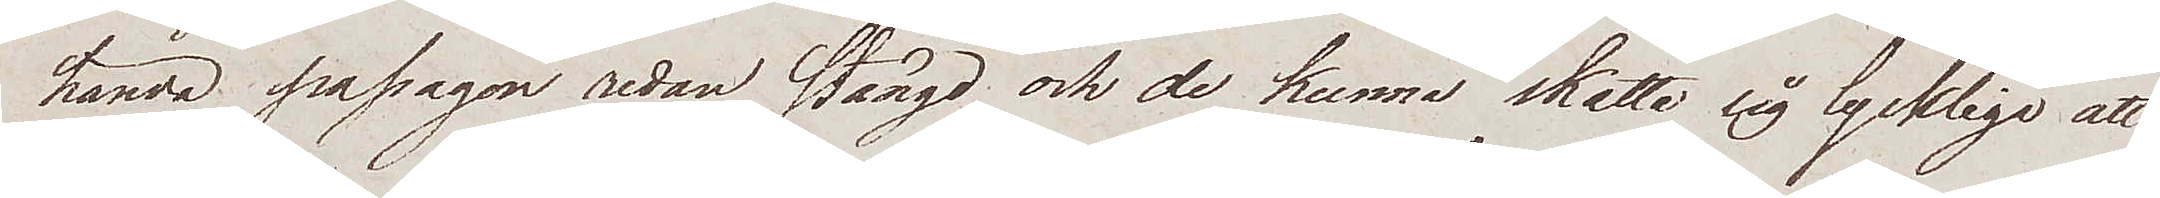hända passagen redan stängd och de kunna skatta sig lyckliga att
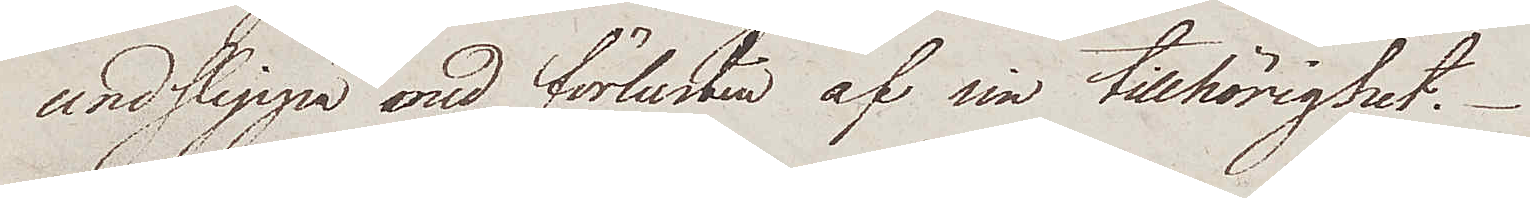undslippa med förlusten af sin tillhöriget.
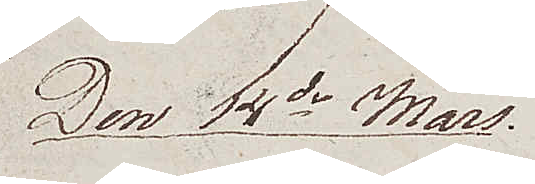Den 4de Mars.
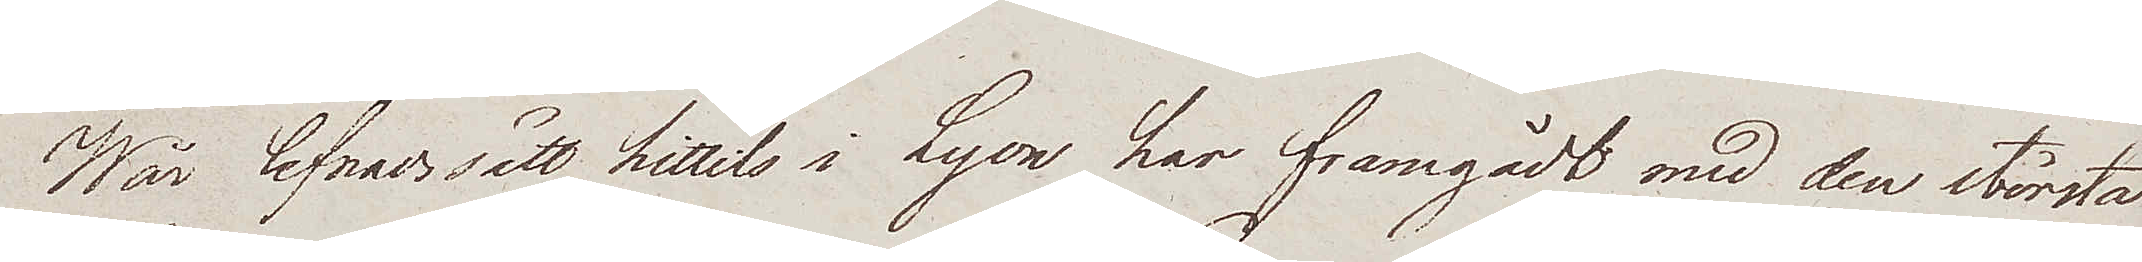Wår lefnadssätt hittils i Lyon har framgådt med den största
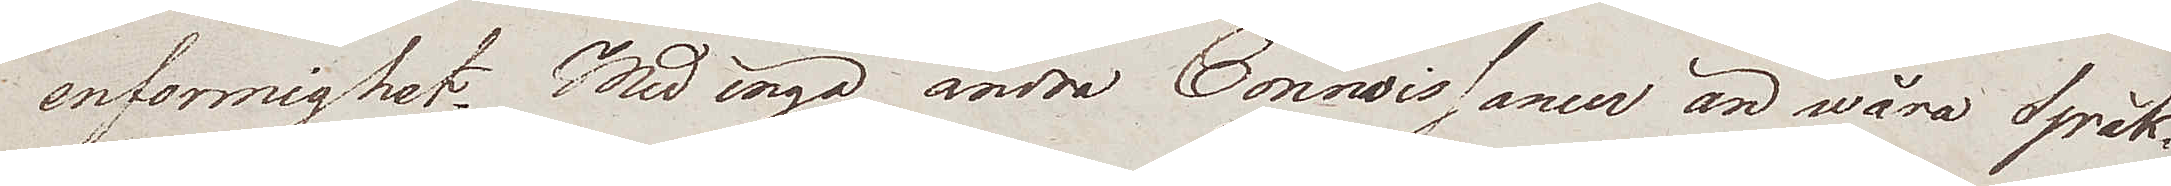enformighet. Med inga andra Connaissancer än wåra Språk¬
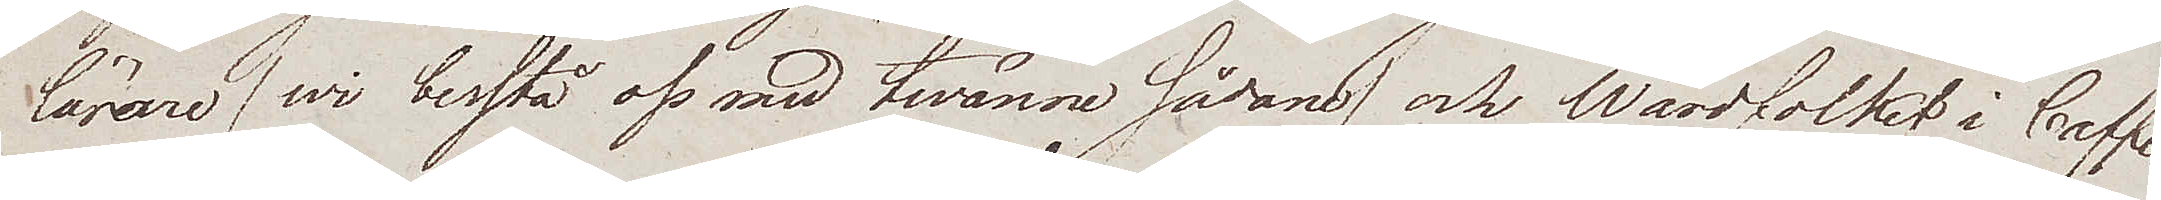lärare / wi bestå oss med twänne sådane / och Wärdfolket i Caffe¬
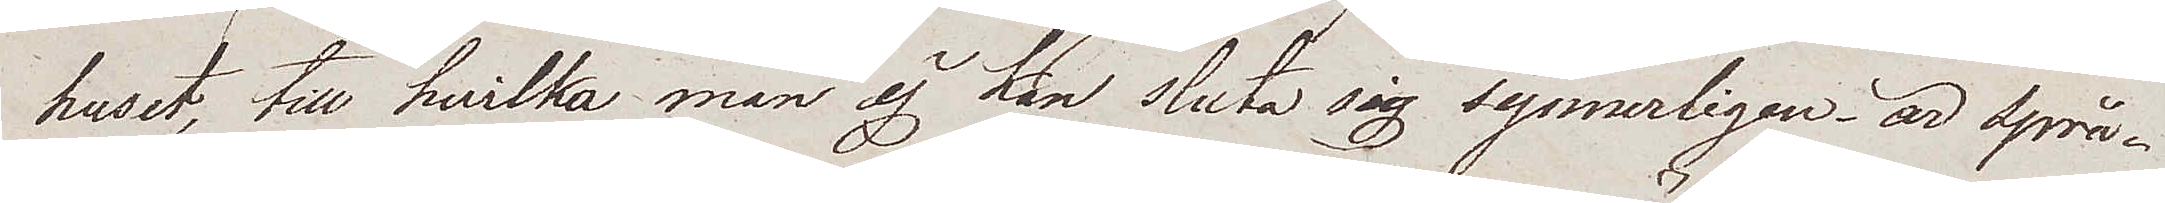huset, till hvilka man ej kan sluta sig synnerligen, är språ¬
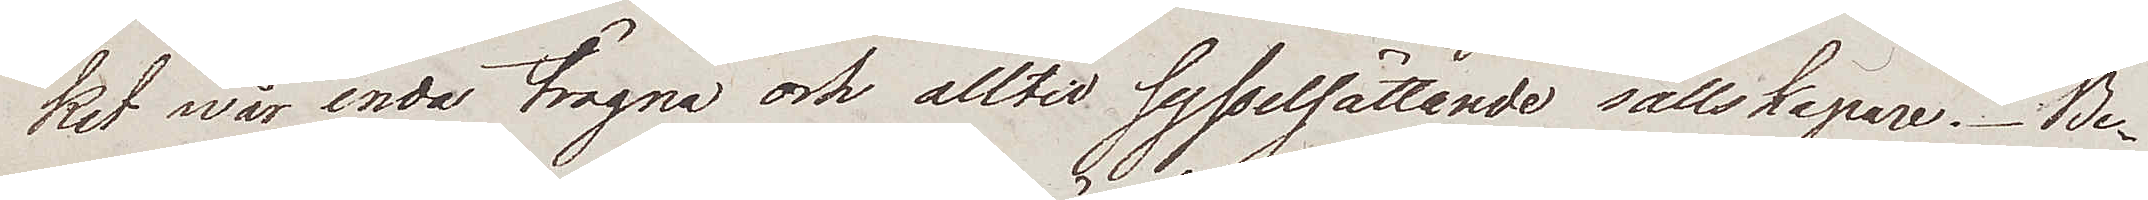ket wår enda trogna och alltid sysselsättande sällskapare. Be¬
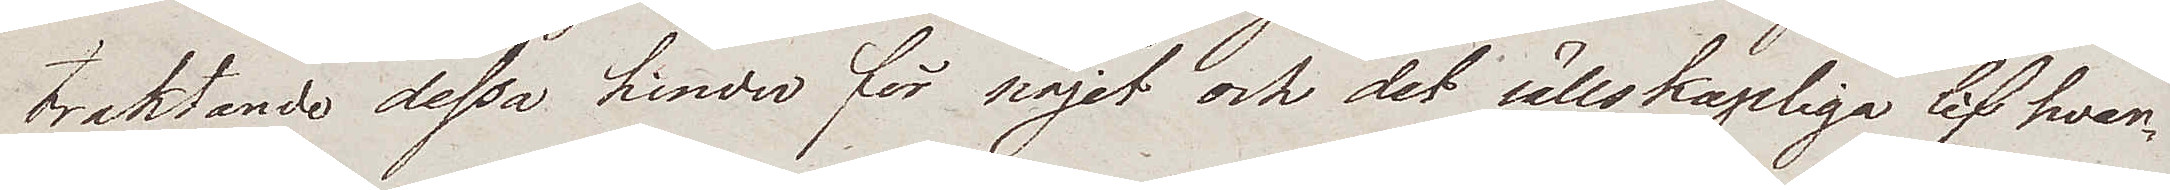traktande dessa hinder för nöjet och det sällskapliga lif hvar¬
